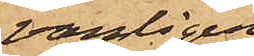vanligen
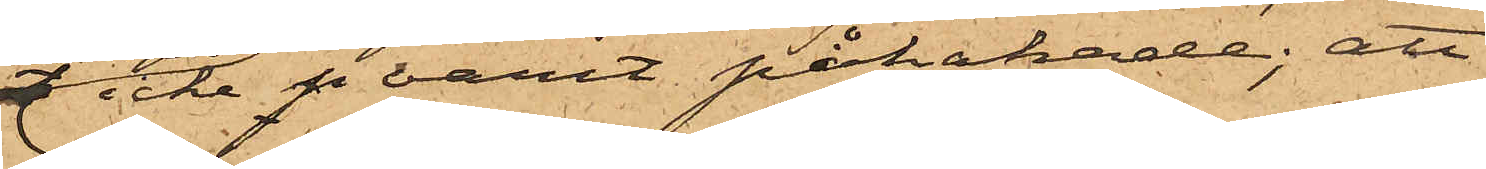 icke p varit påhakade; att
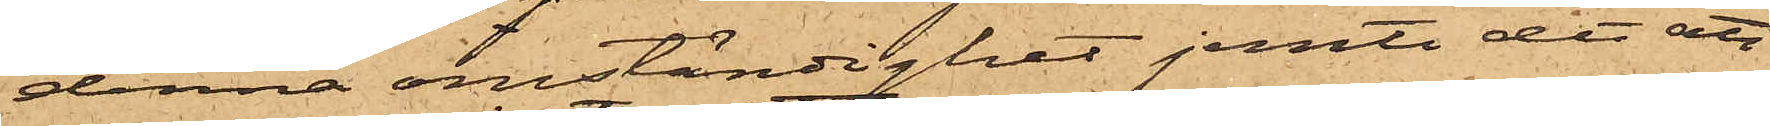denna omständighet jemte det att
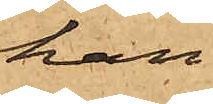han
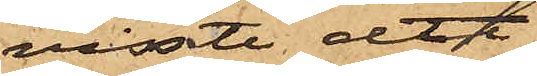visste att
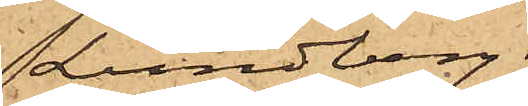Lundberg
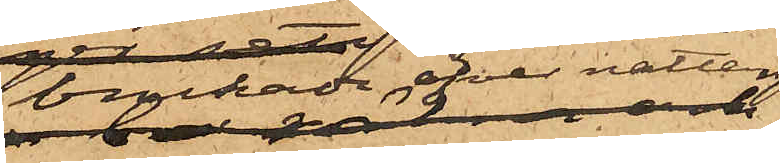brukade öfver natten
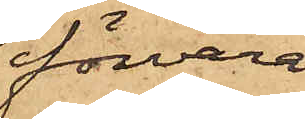förvara
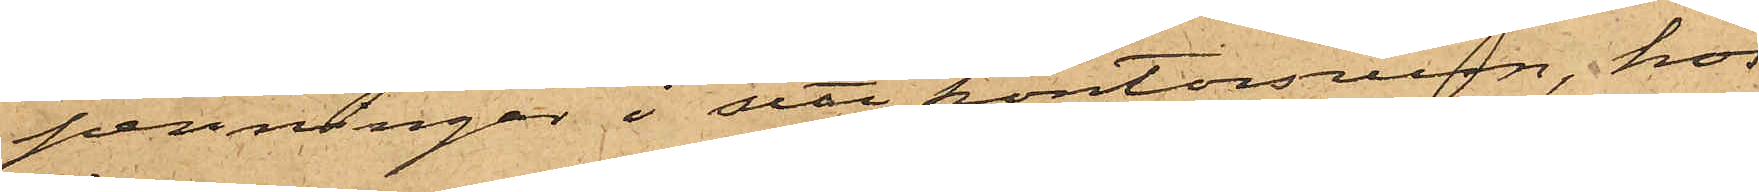penningar i sitt kontorsrum, hos
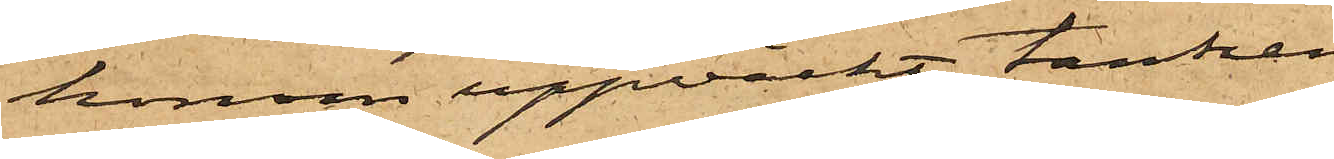honom uppväckt tanken
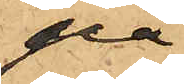på
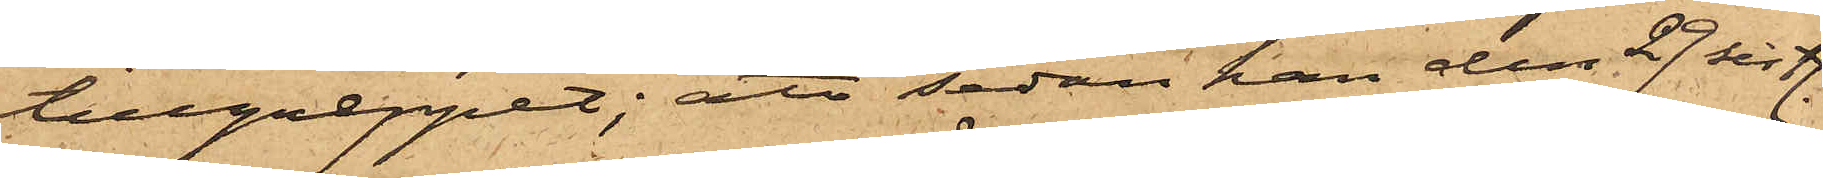tillgreppet; att sedan han den 29 sistl.
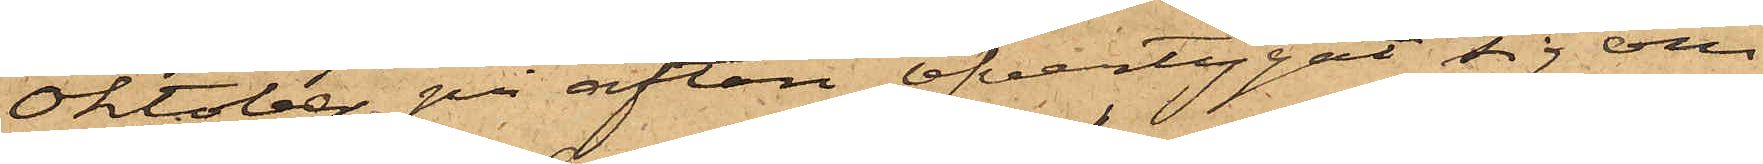Oktober på afton öfvertygat sig om
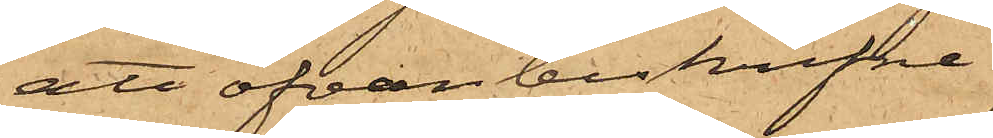att ofvanbeskrifne
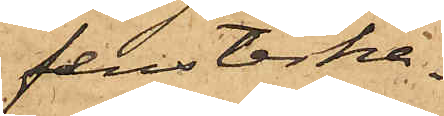fensterha¬
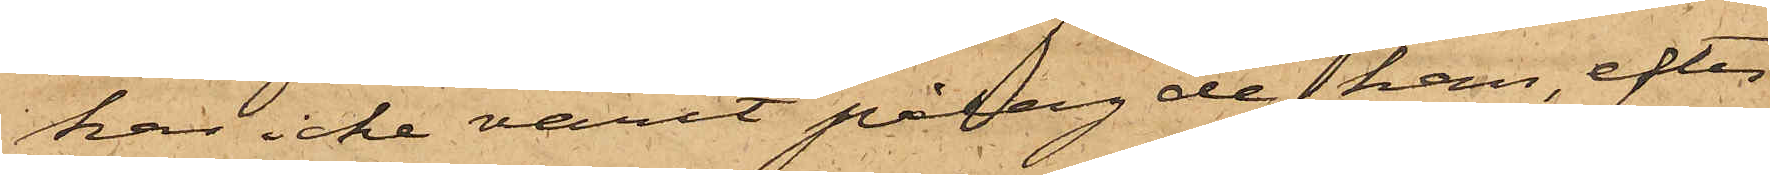kar icke varit pålagde, han, efter
